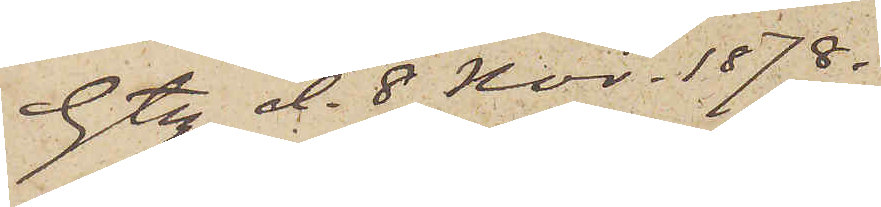Gtg d. 8 Nov. 1878.
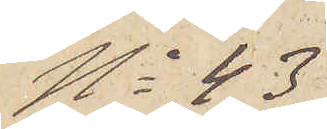No 43
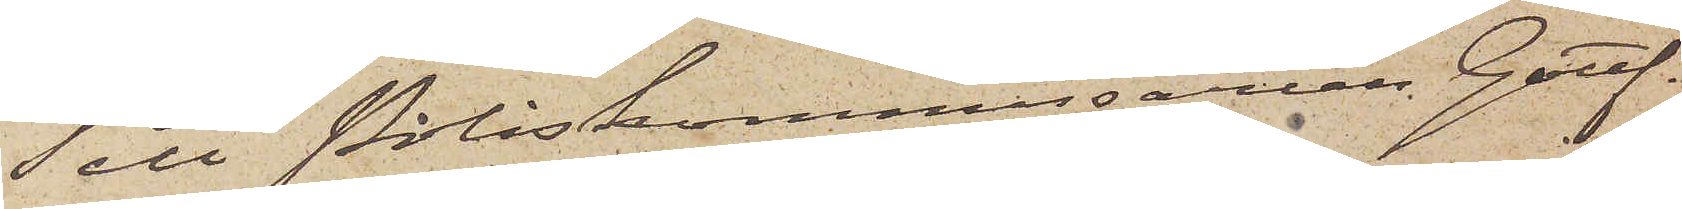Till Poliskommissarien Gottf.
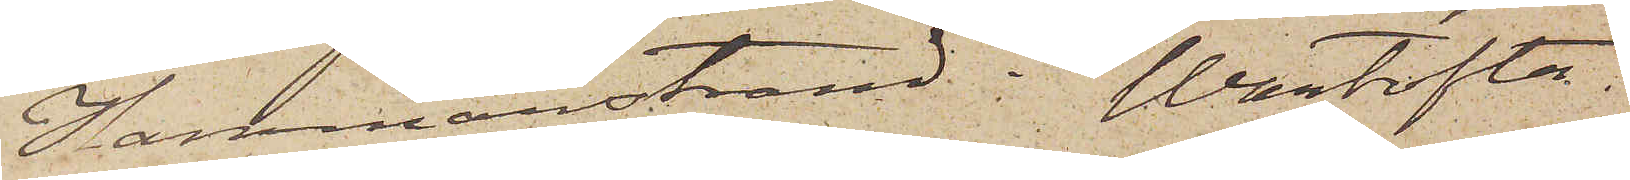Hammarstrand i Wartofta.
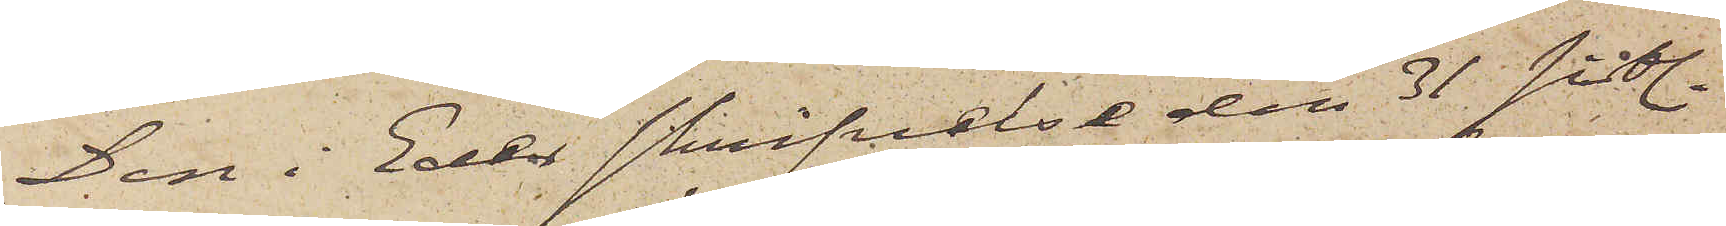Den i Eder skrifvelse den 31 sistl.
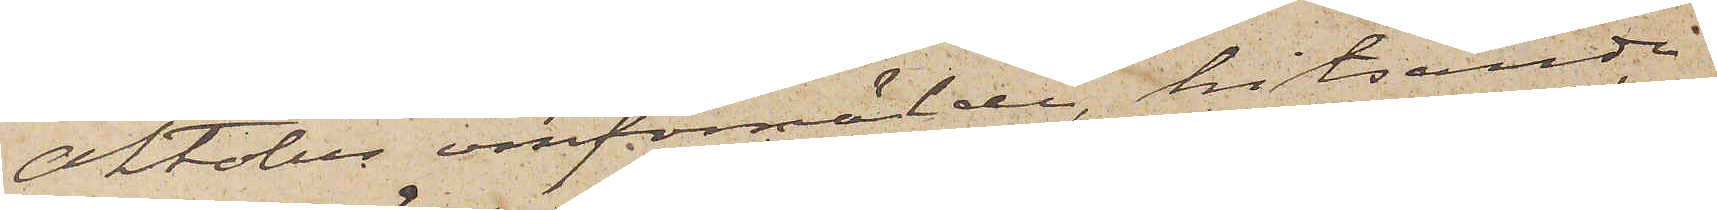Oktober omförmälde, hitsända
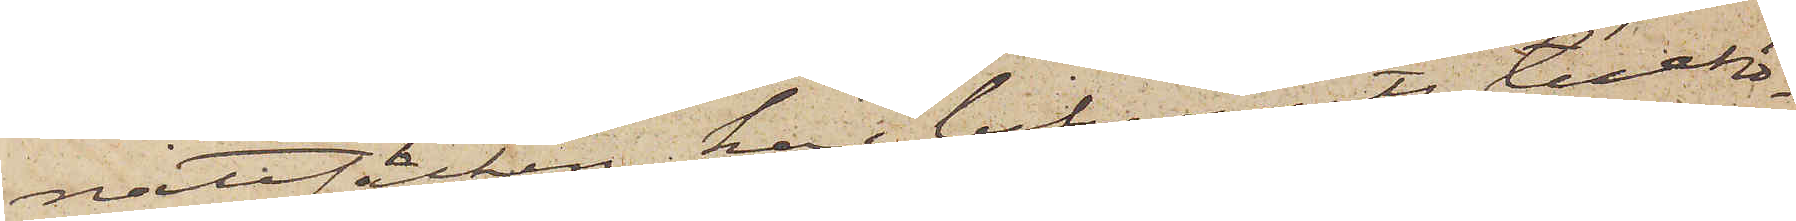nattsäcken har befunnits tillhö¬
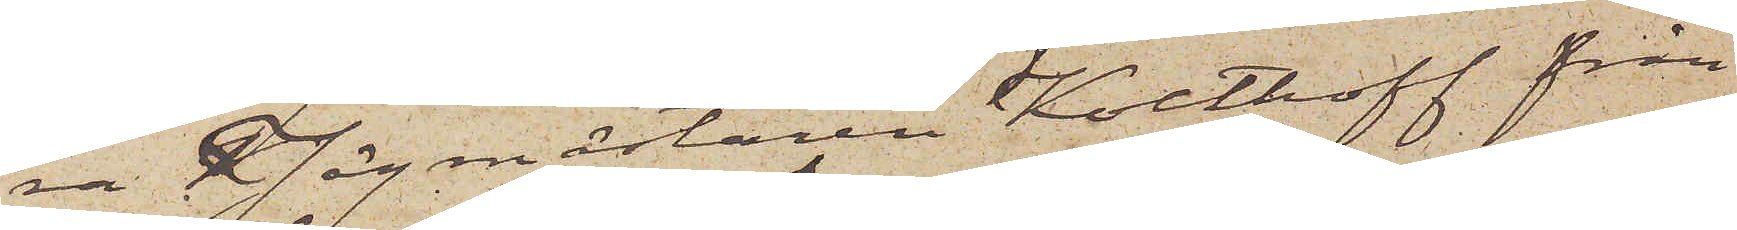ra Jägmästaren Kolthoff från
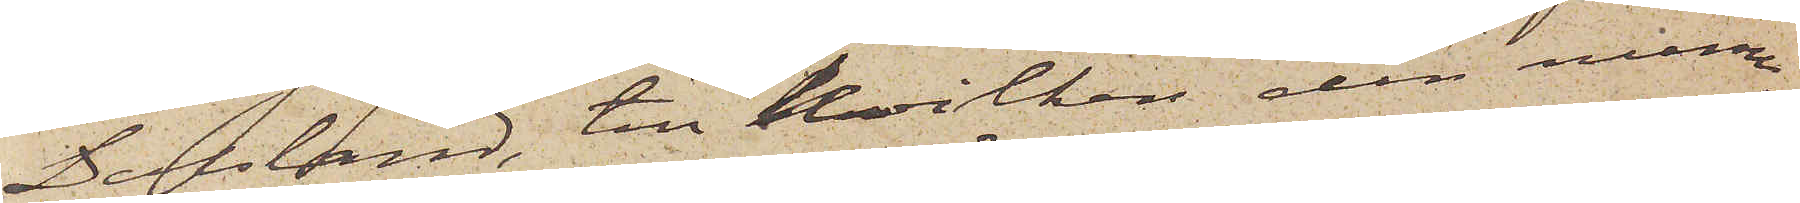Dalsland, till hvilken den nume¬
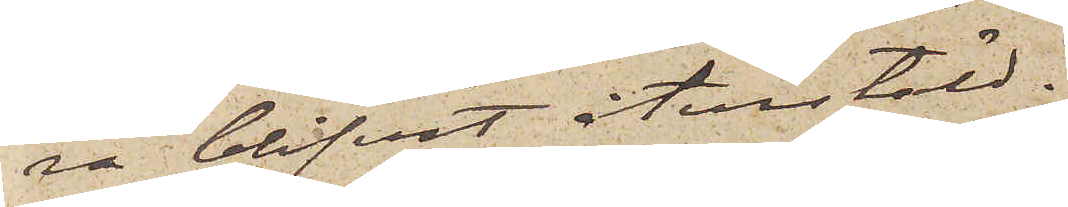ra blifvit återstäld.
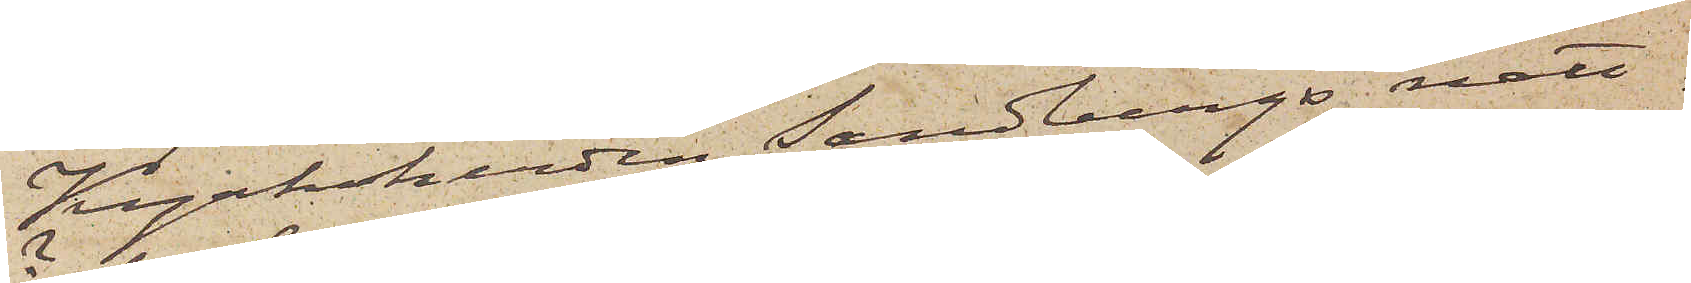Kyrkoherden Sandbergs natt¬
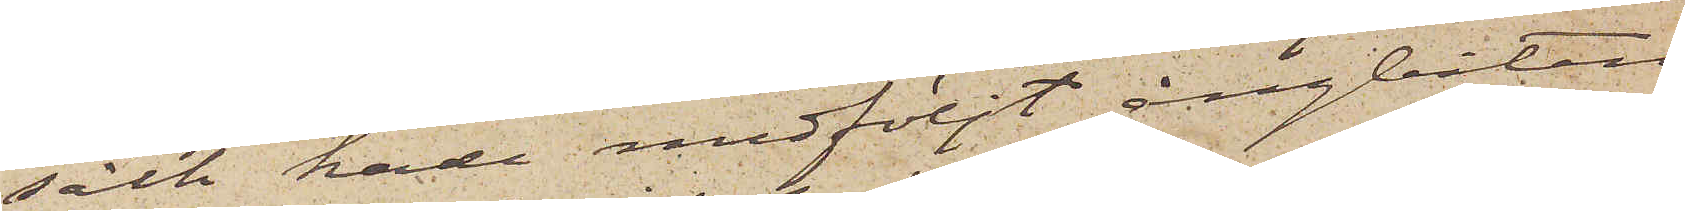säck hade medföljt ångbåten
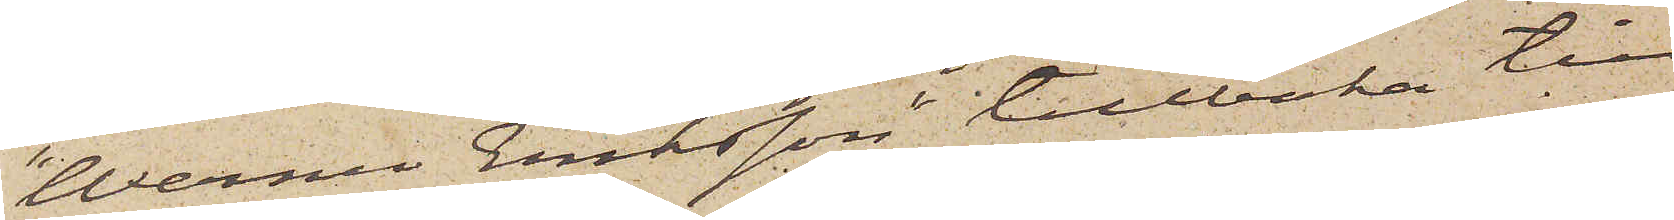"Werner Eriksson" tillbaka till
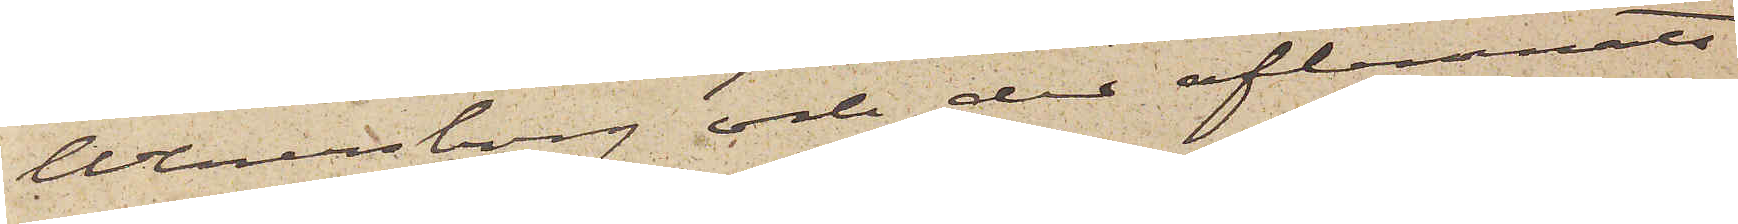Wenersborg och der aflemnats
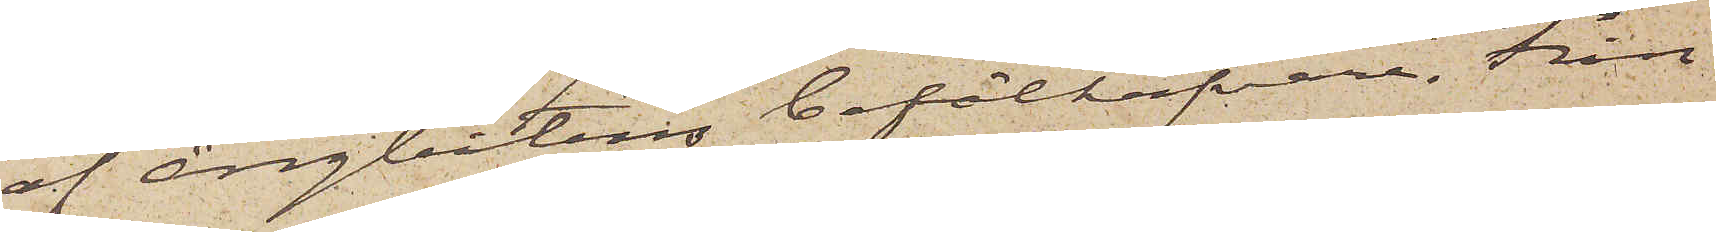af Ångbåtens befälhafvare. Från
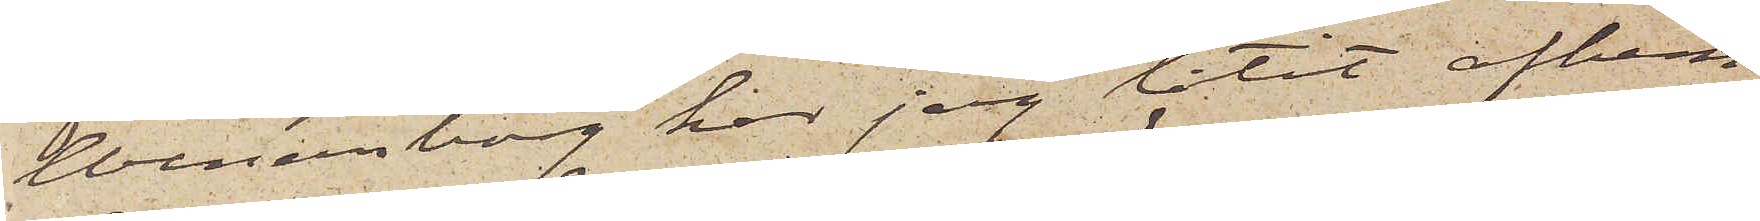Wenersborg har jag låtit afhem¬
